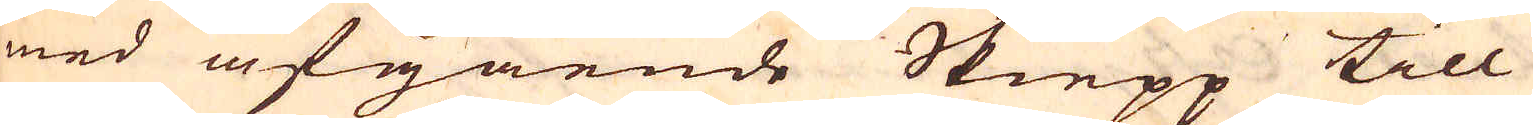med afgående Skiepp till
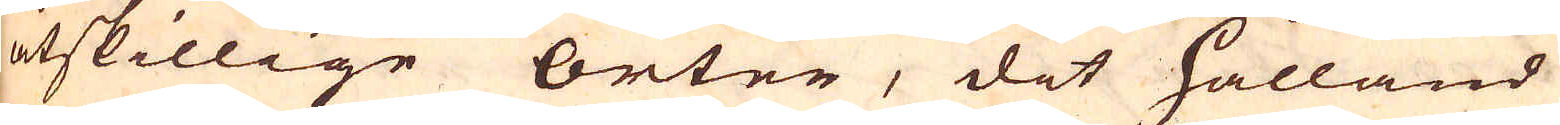åtskillige orter, dit Hålland
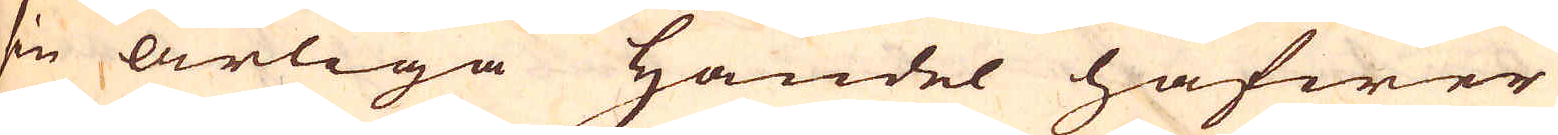sin årliga handel hafwer
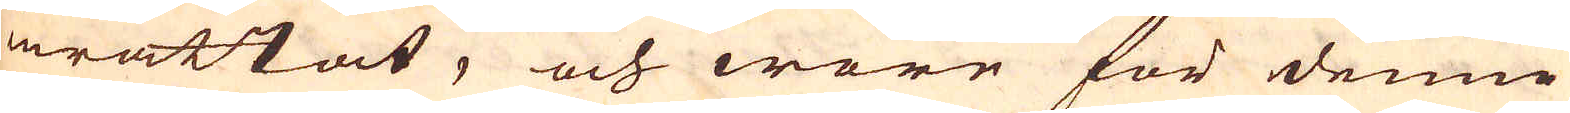inrättat, och wore för denne
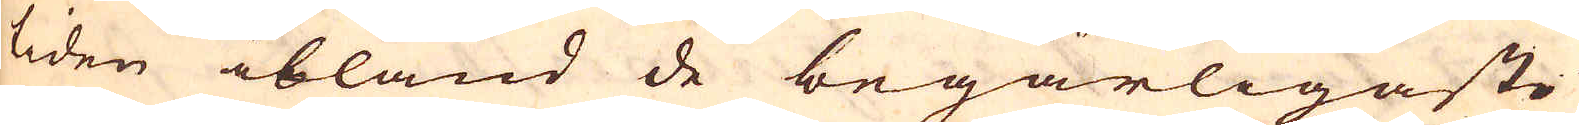tiden ibland de begärligaste
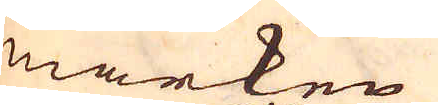märken
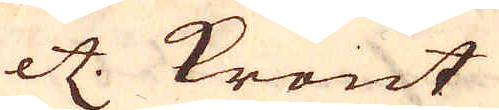etc. Krönt
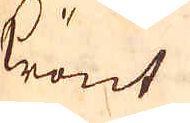krönt
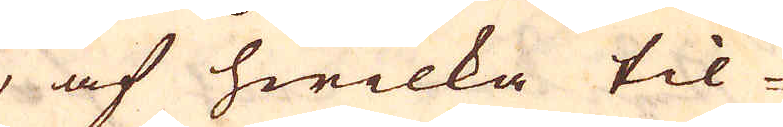, af hwilka til-
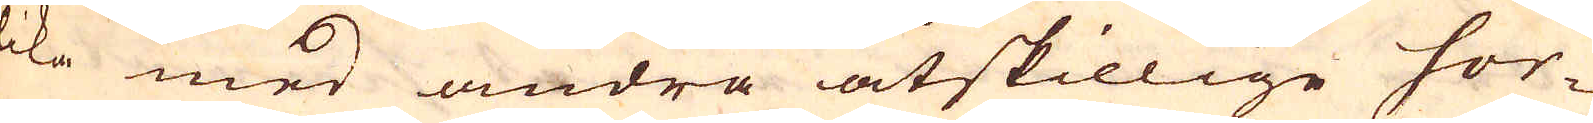ika med andra åtskillige sor-
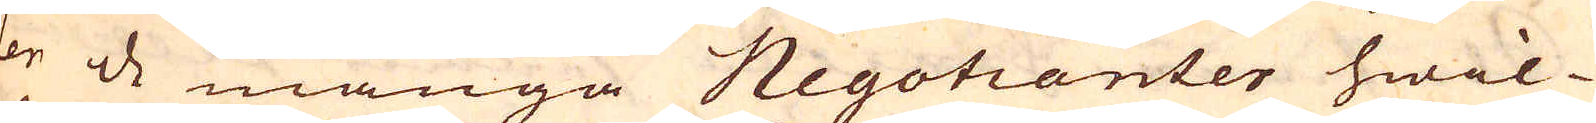ter de många Negotianter hwil-
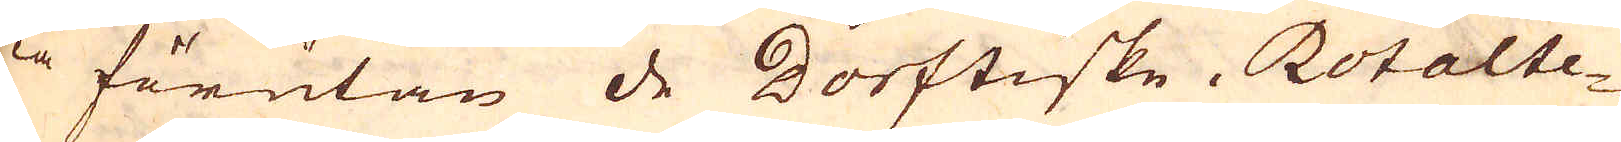ka förutan de Dorftiske, Rotalte-
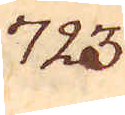723.
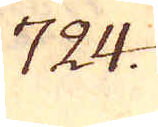724.
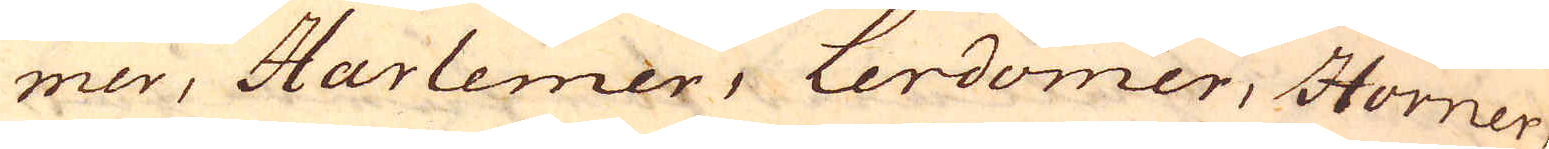mer, Harlemer, Lerdomer, Horner
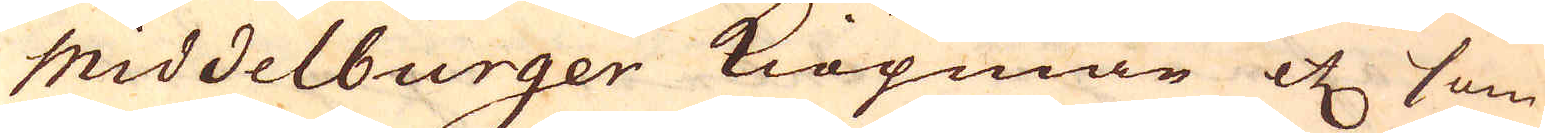Middelburger Kiöpmän etc som
